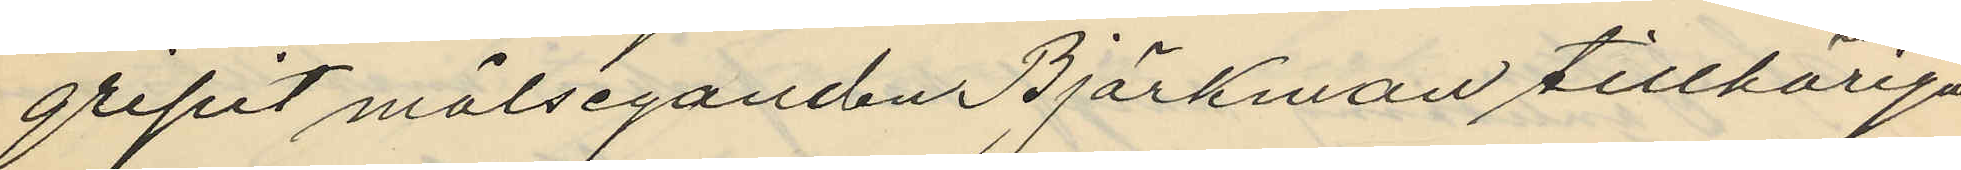gripit målseganden Björkman tillhöriga
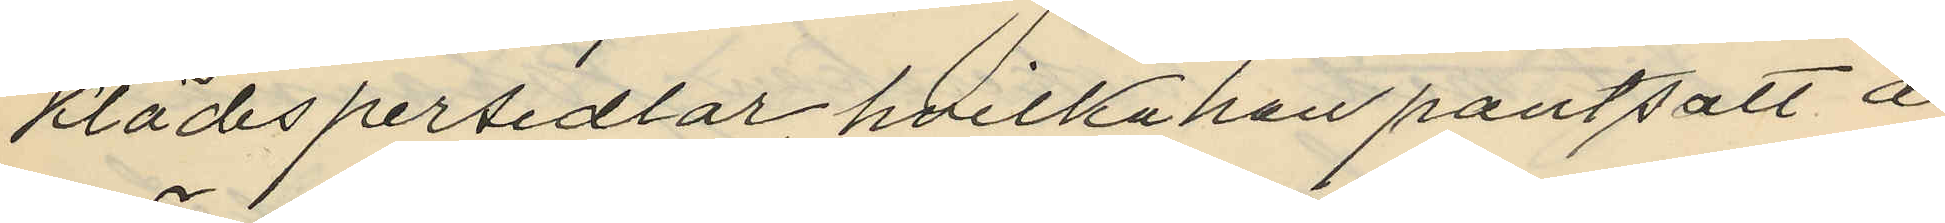klädespersedlar hvilka han pantsatt å
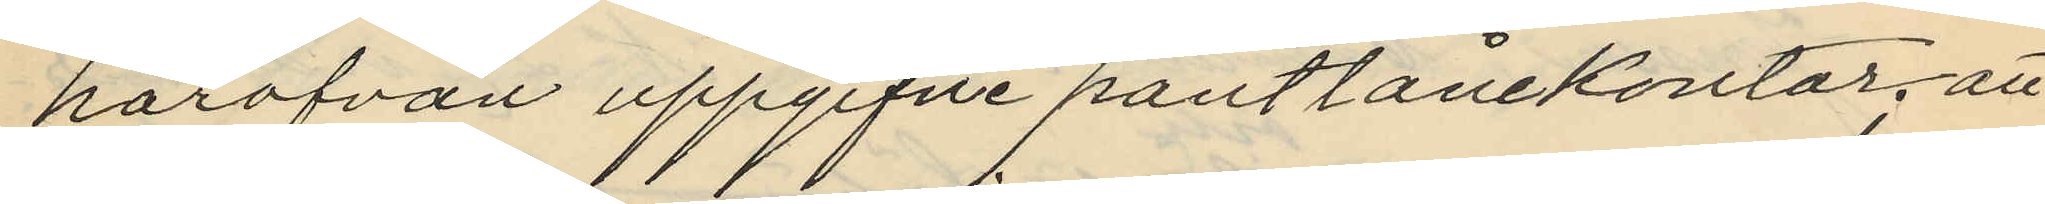härofvan uppgifne pantlånekontor; att
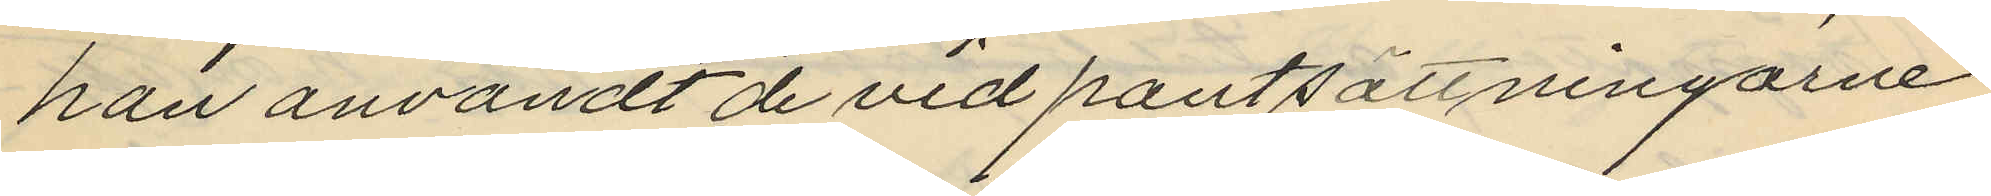han användt de vid pantsättningarne
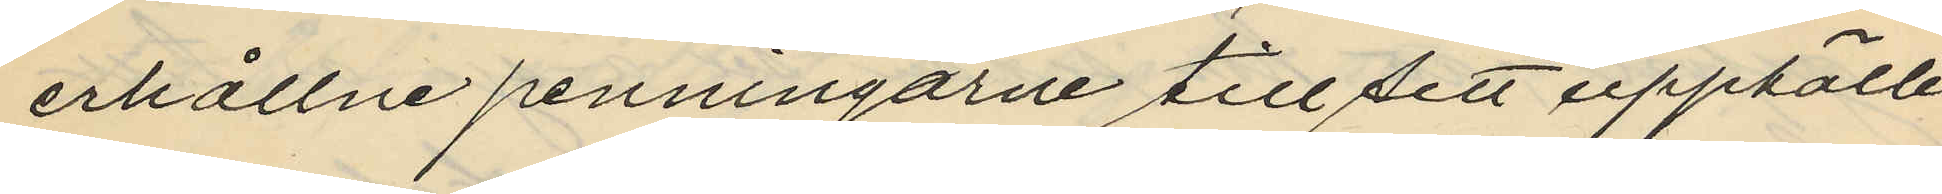erhållne penningarne till sitt upphälle
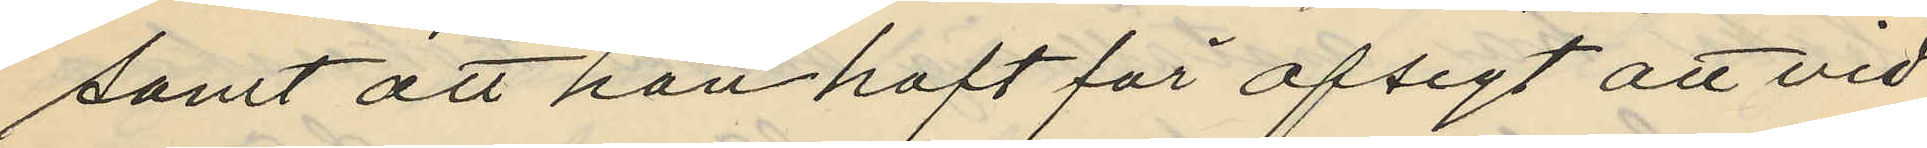samt att han haft för afsigt att vid
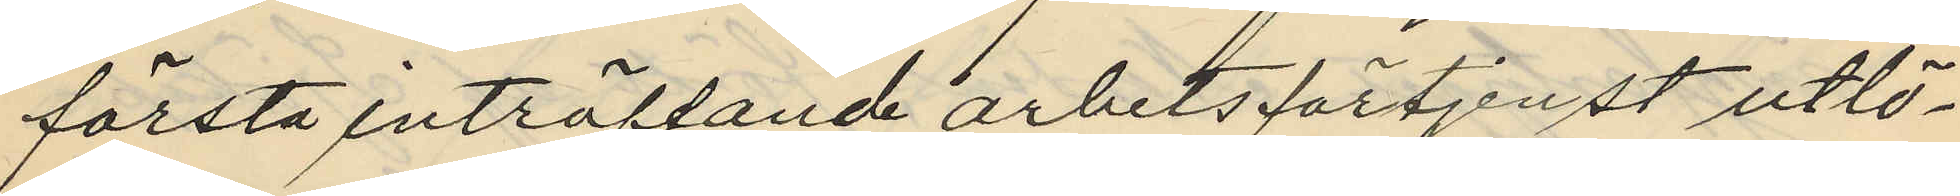första inträffande arbetsförtjenst utlö¬
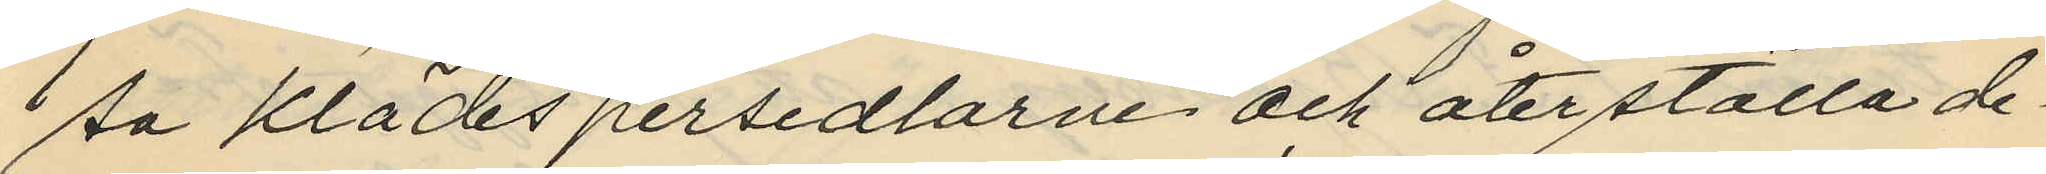sa klädespersedlarne och återställa de¬
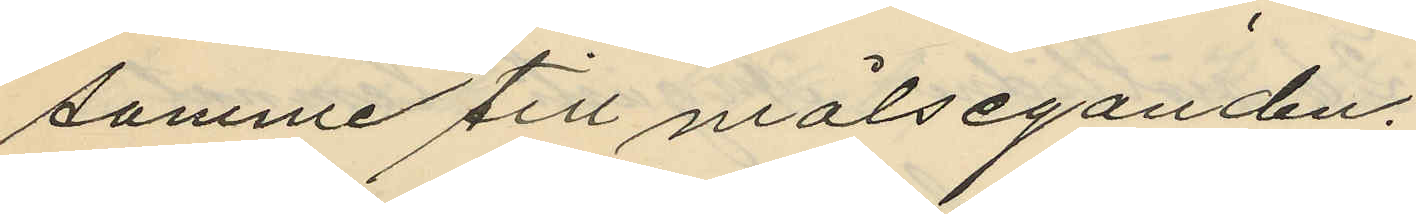samme till målseganden.
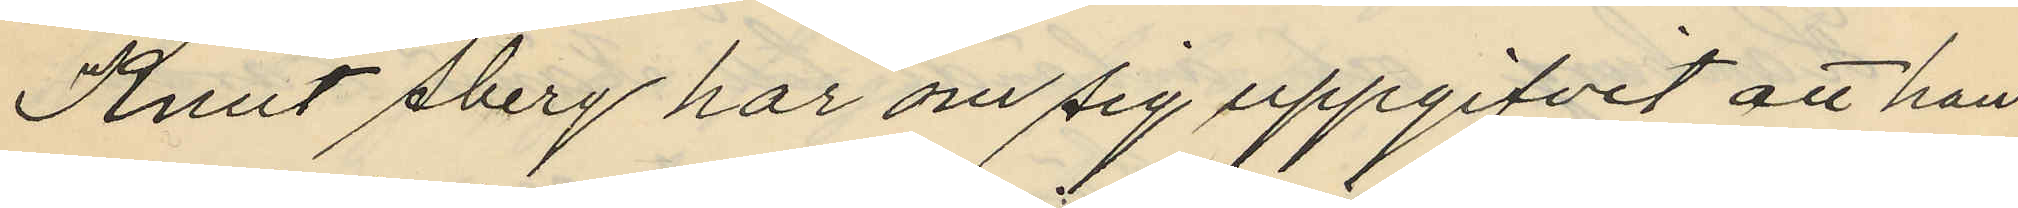Knut Åberg har om sig uppgifvit att han
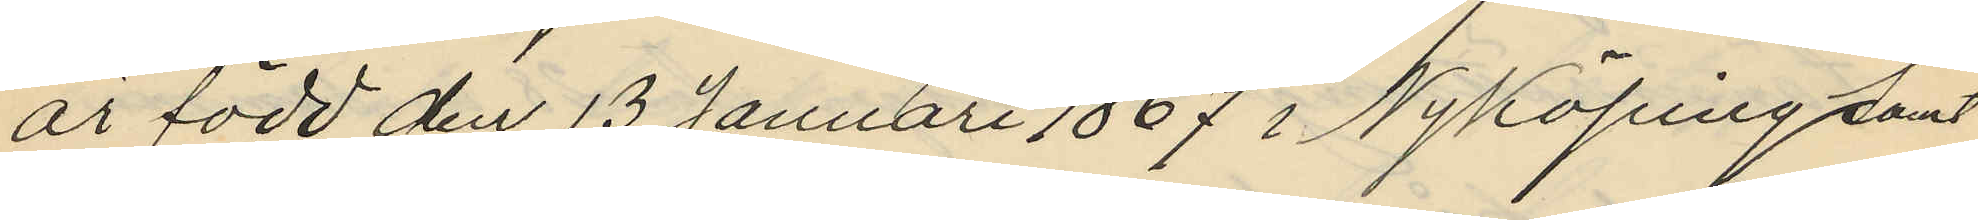är född den 13 Januari 1867 i Nyköping samt
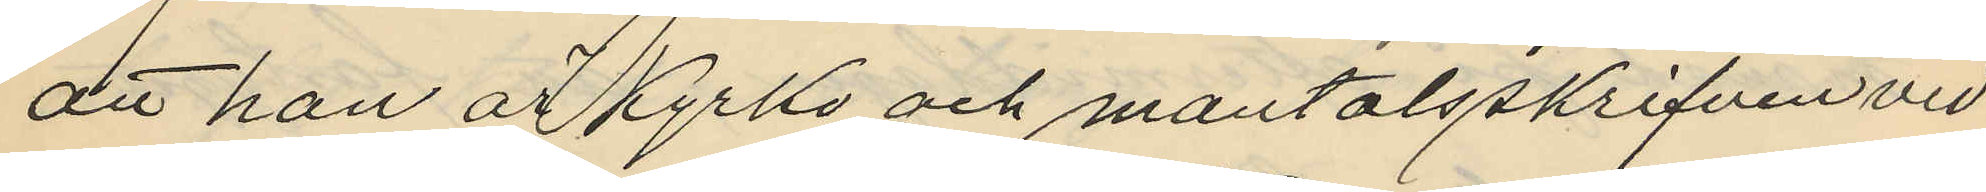att han är Kyrko och mantalsskrifven vid
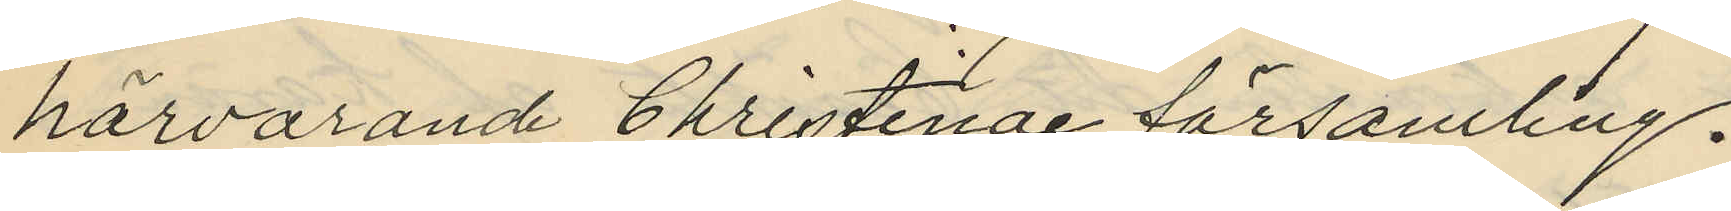härvarande Christinae församling.
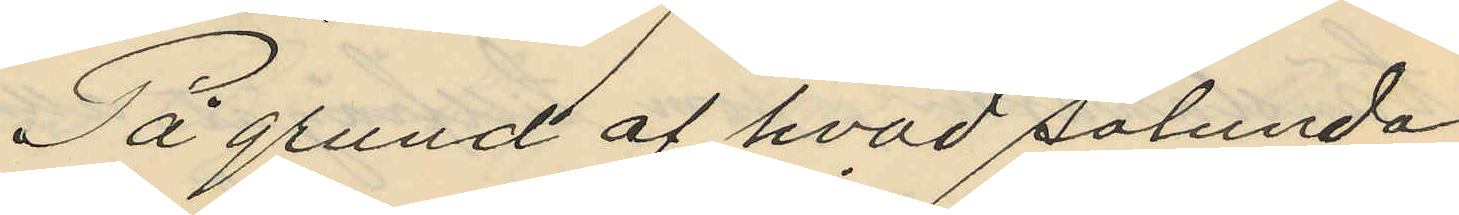På grund af hvad sålunda
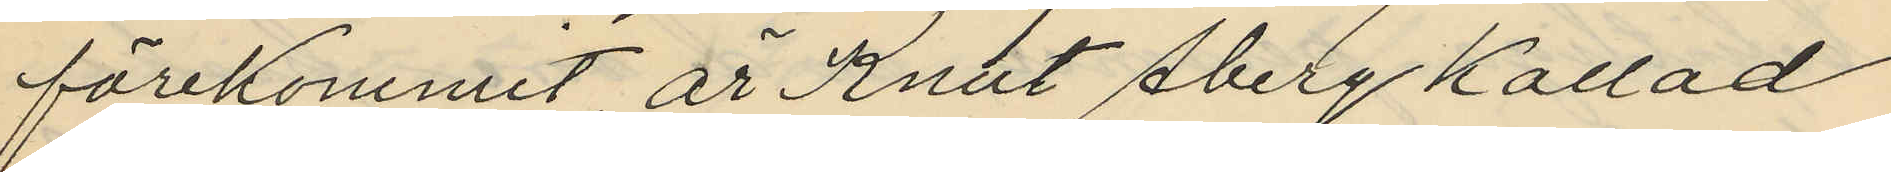förekommit är Knut Åberg kallad
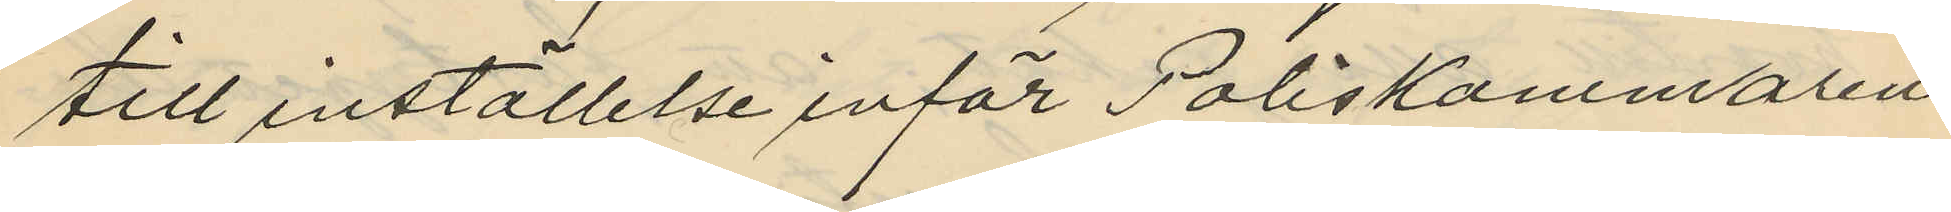till inställelse inför Poliskammaren
